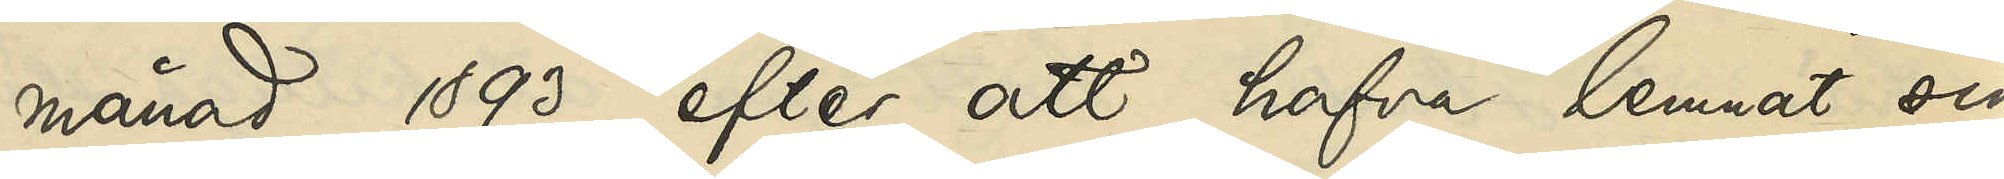månad 1893, efter att hon hafva lemnat sin
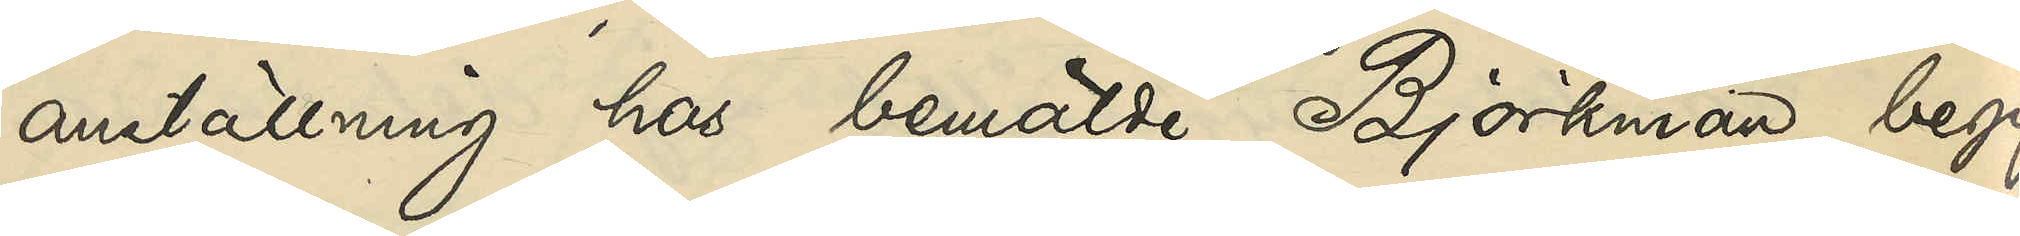anställning hos bemälda Björkman, begif¬
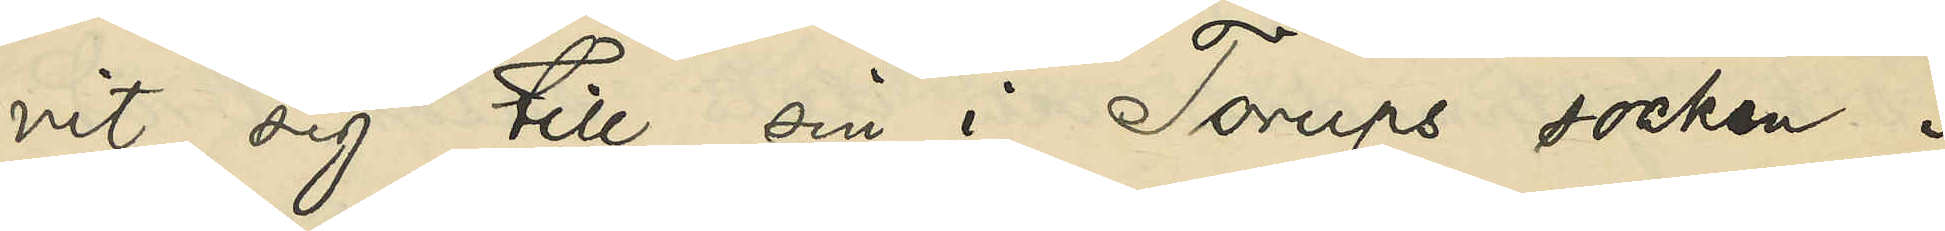vit sig till sin i Torups socken i
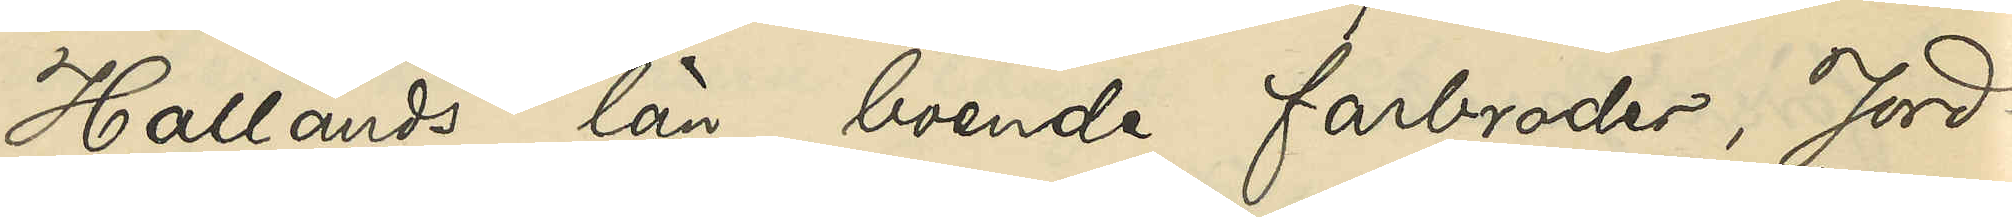Hallands län boende farbroder, Jord¬
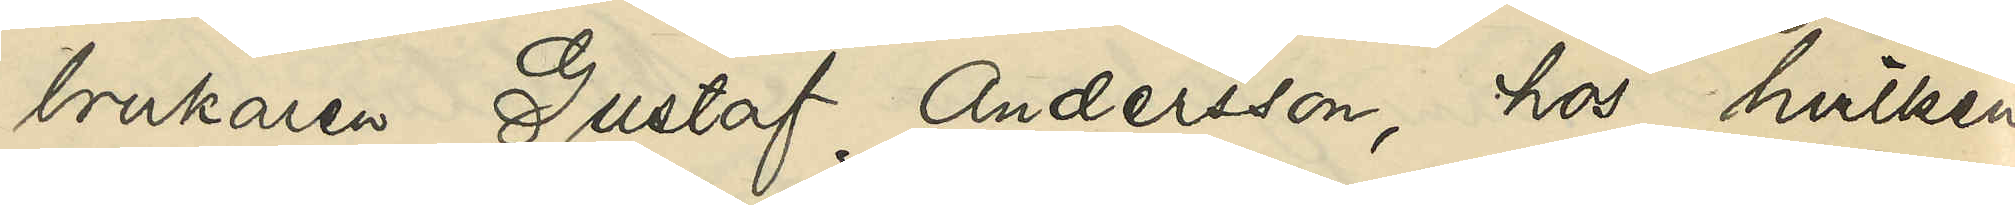brukaren Gustaf Andersson, hos hvilken
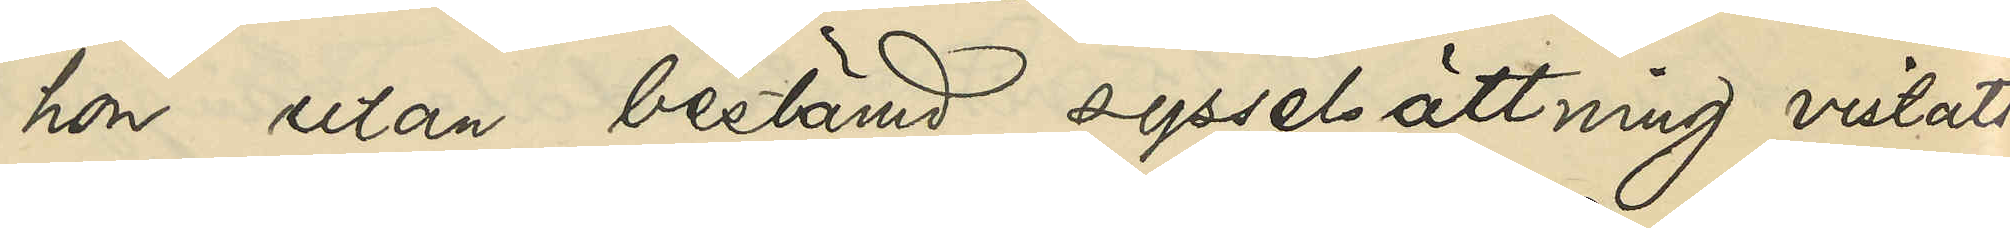hon utan bestämd sysselsättning vistats
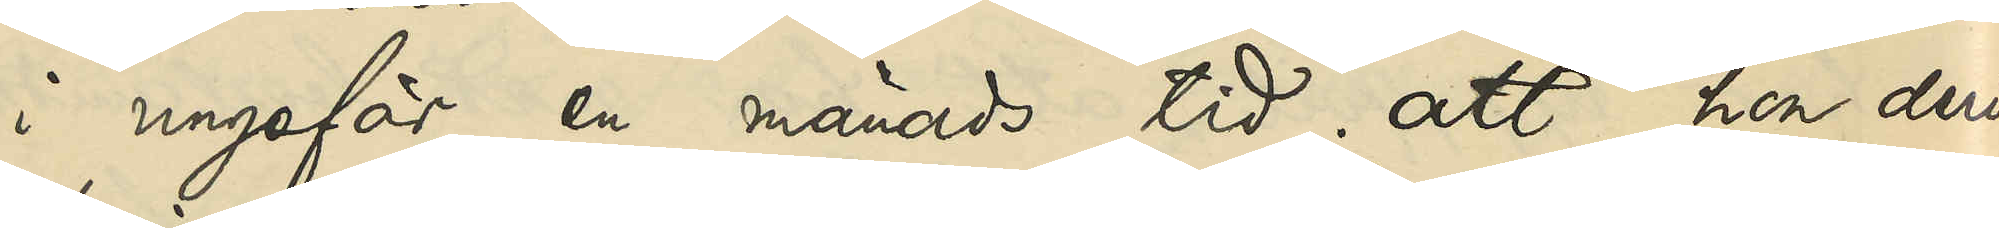i ungefär en månads tid; att hon deri¬
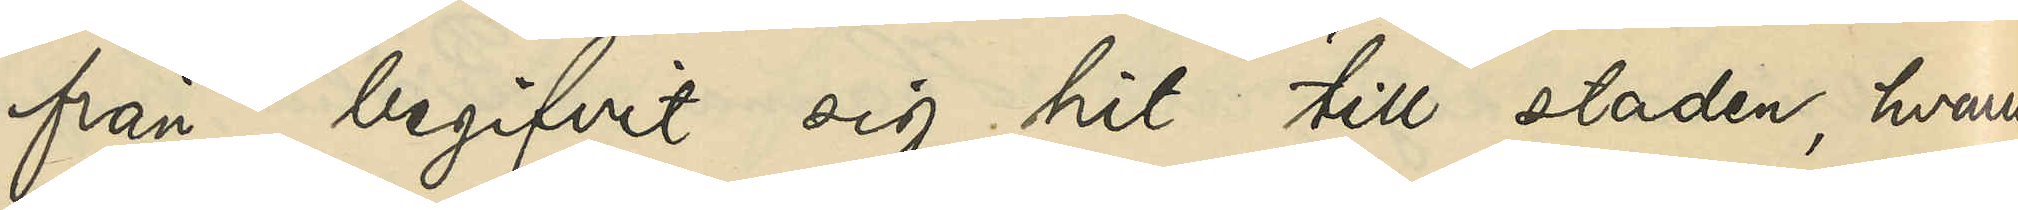fran begifvit sig hit till staden; hvarest
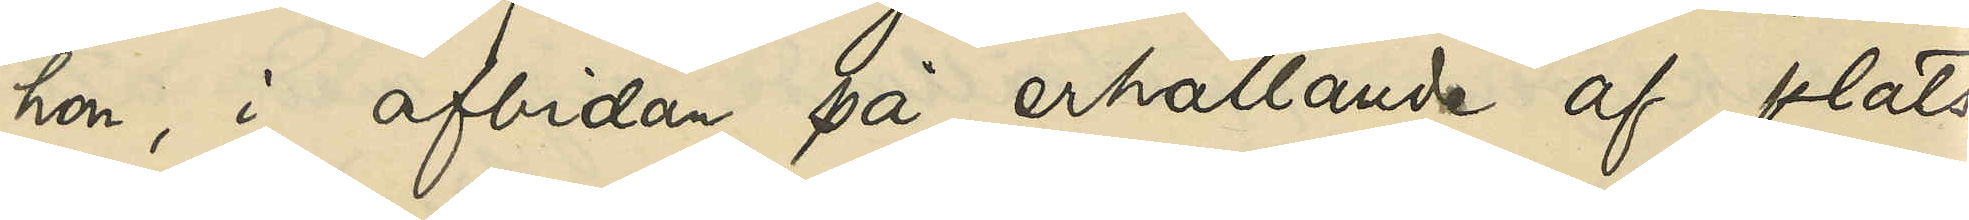hon, i afbidan på erhållande af plats
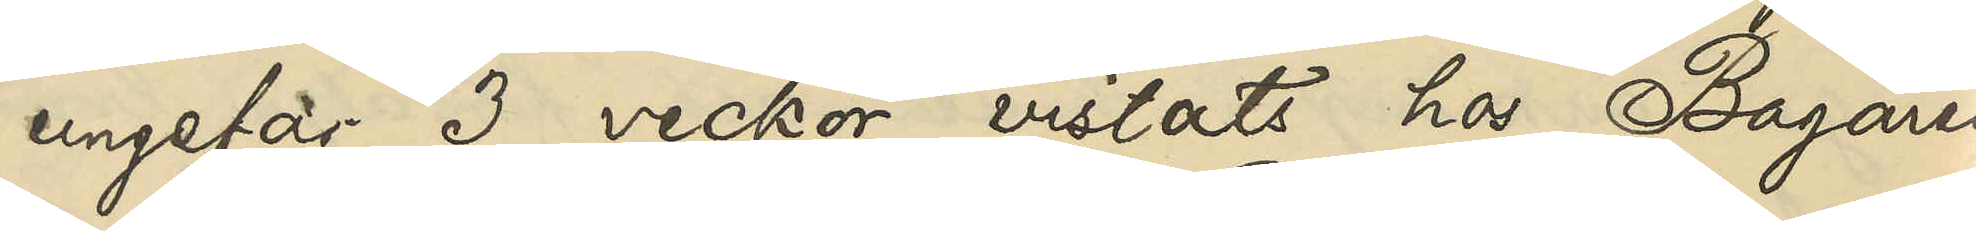ungefär 3 veckor vistats hos Bagaren
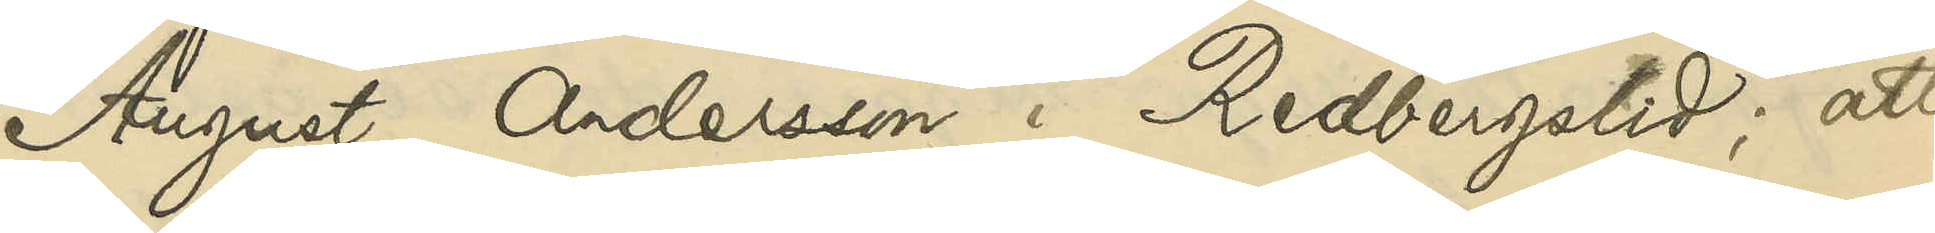August Andersson i Redbergslid; att
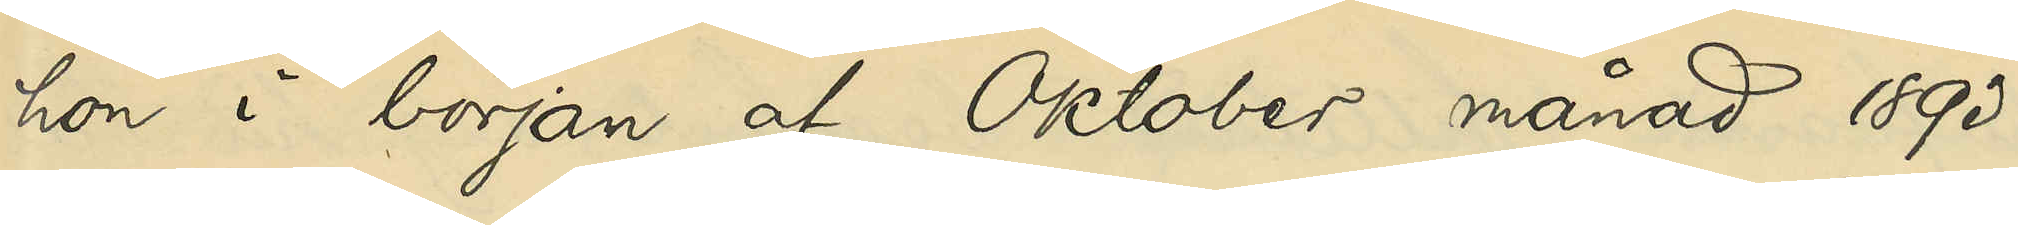hon i början af Oktober månad 1893
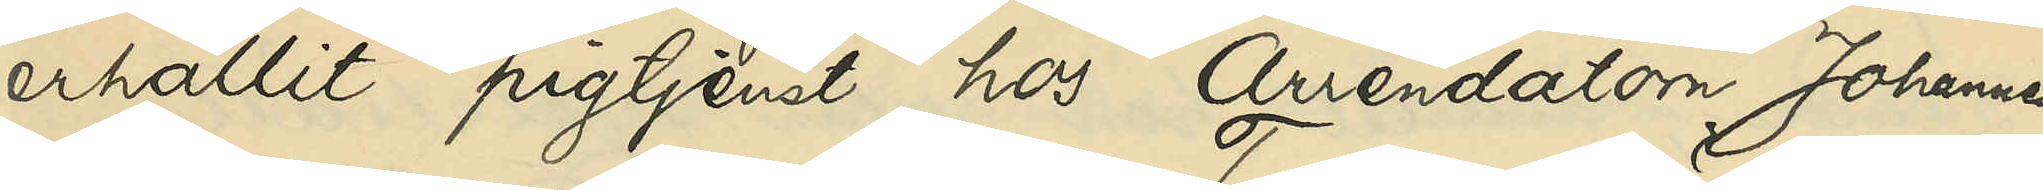erhållit pigtjenst hos Arrendatorn Johannes
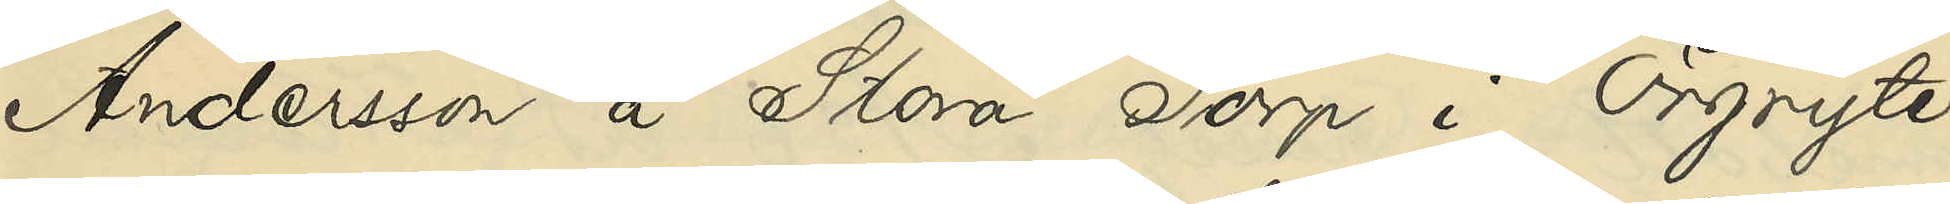Andersson å Stora Torp i Örgryte
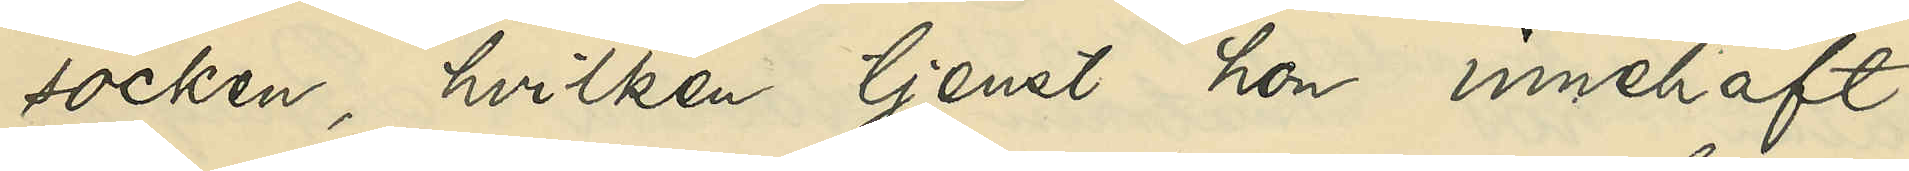socken, hvilken tjenst hon innehaft
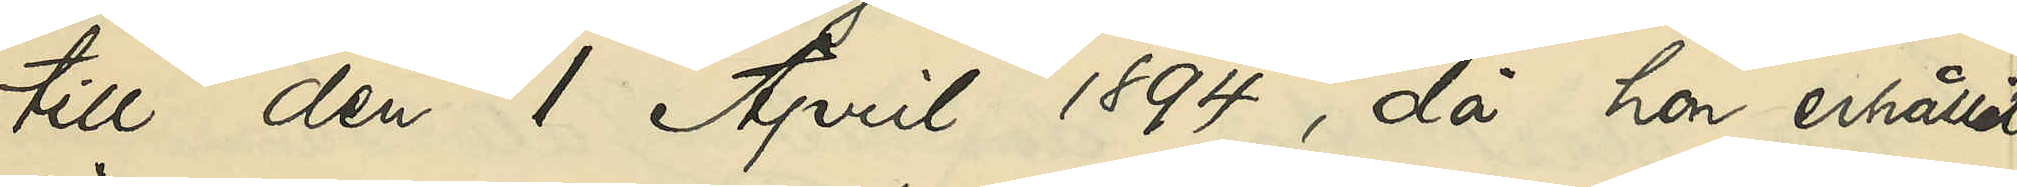till den 1 April 1894, då hon erhållit
